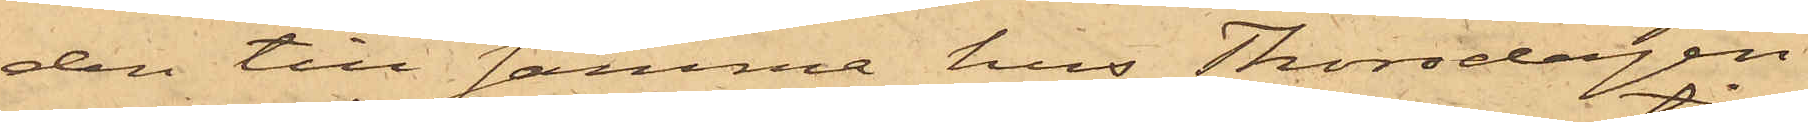den till samma hus Thorsdagen
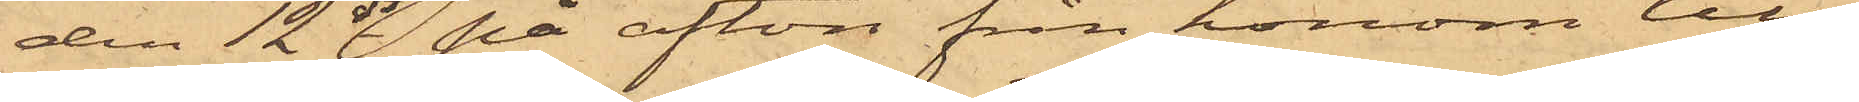den 12 ds på afton från honom till¬
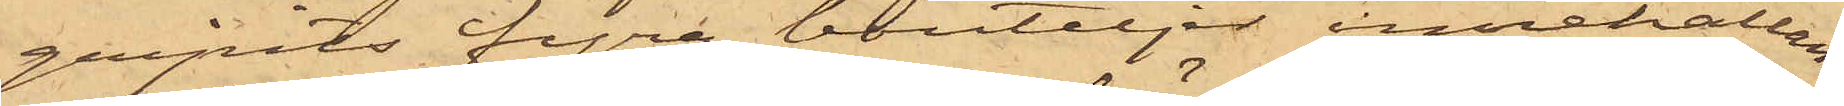gripits fyra bouteljer innehållan¬
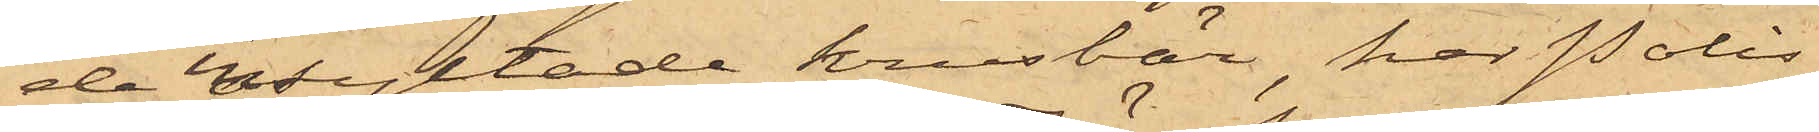de insyltade krusbär, har Polis¬
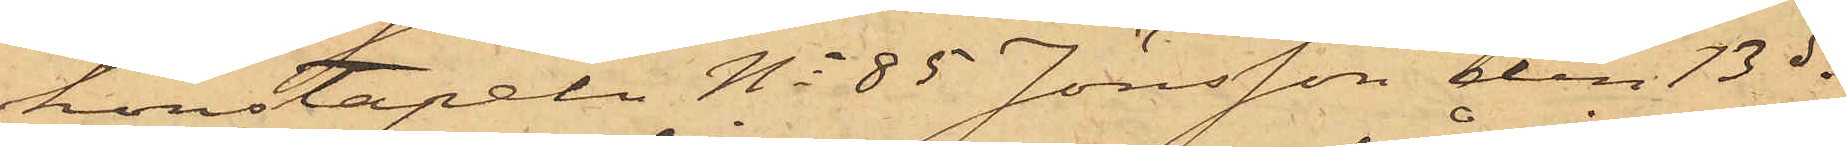konstapeln No 85 Jönsson den 13 ds
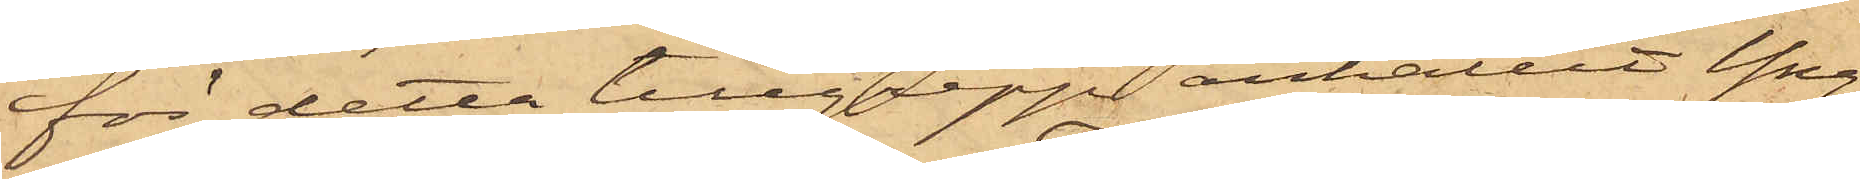för detta tillgrepp anhållit Yng¬
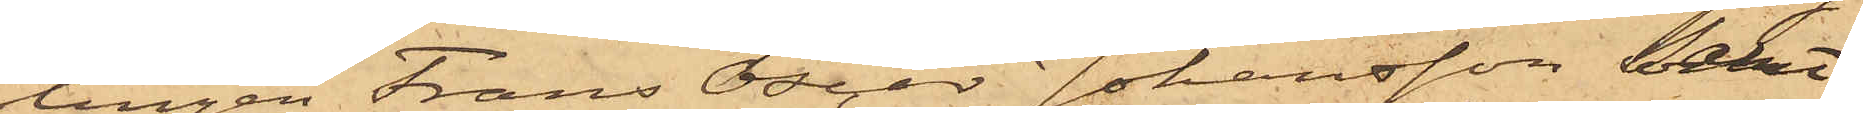lingen Frans Oscar Johansson samt
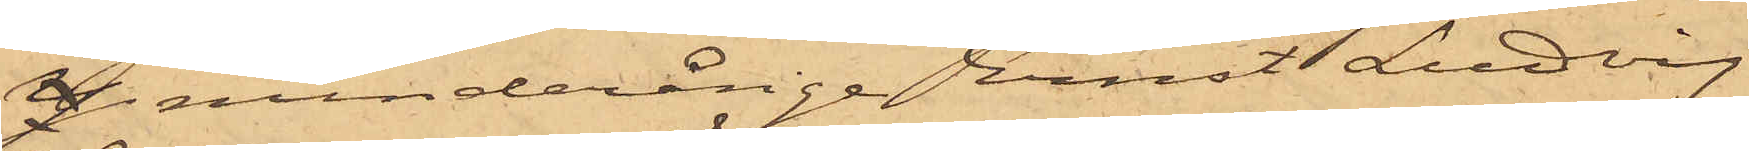minderårige Ernst Ludvig
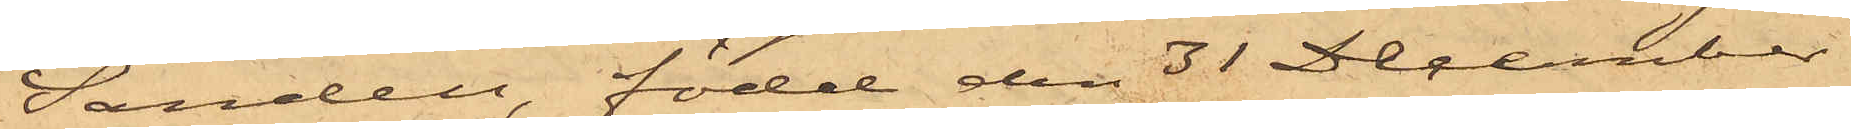Sandell, född den 31 December
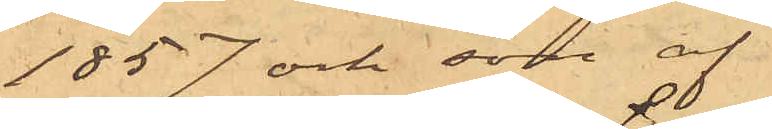1857 och son af
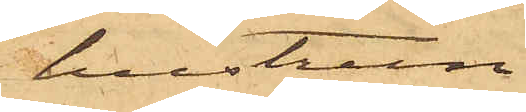hustrun
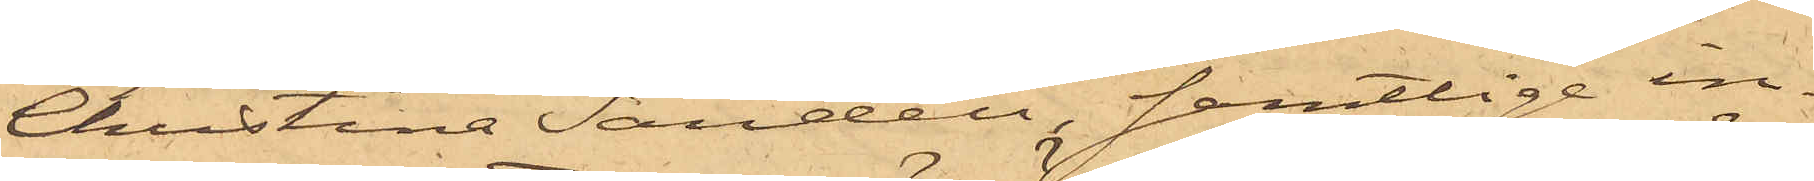Christina Sandell, samtlige in¬
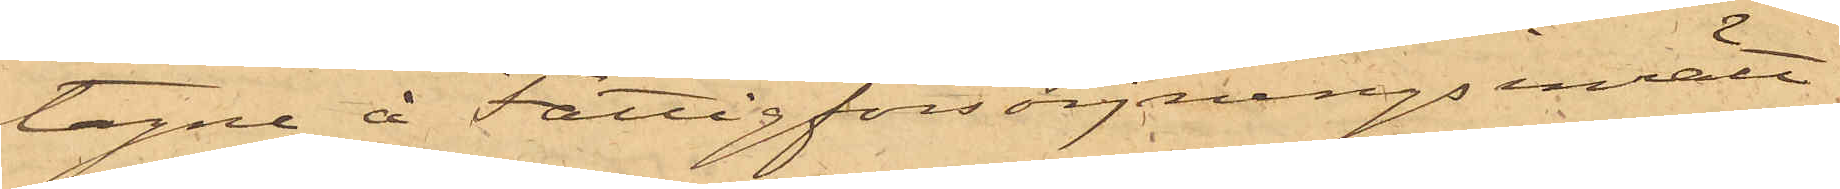tagne å Fattigförsörjningsinrätt¬
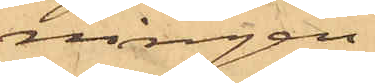ningen
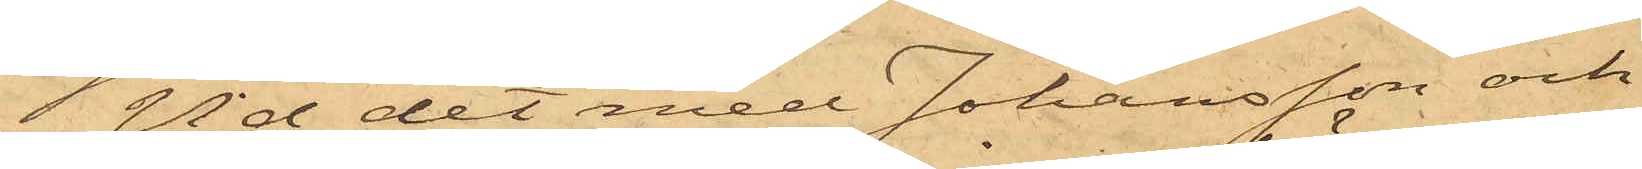 Vid det med Johansson och
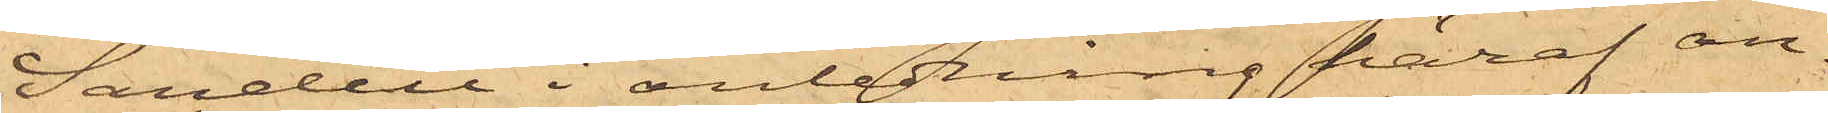Sandell i anledning häraf an¬
